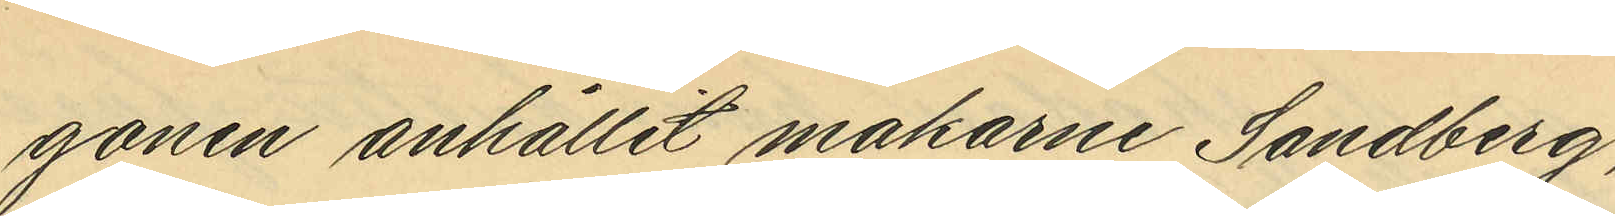gonen enhållit makarne Sandberg,
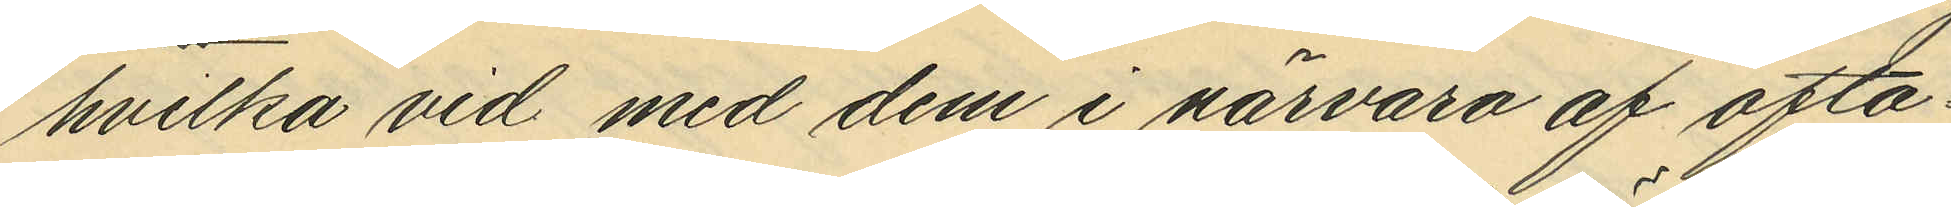hvilka vid dem i närvaro af ofta¬
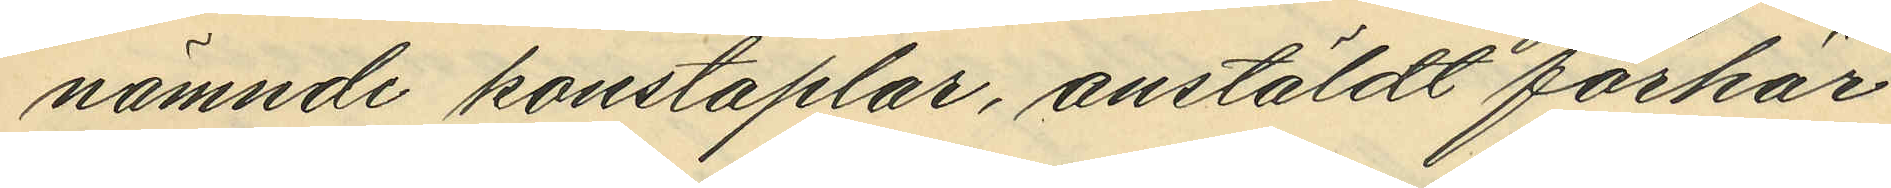nämnde konstaplar, anstäldt förhör
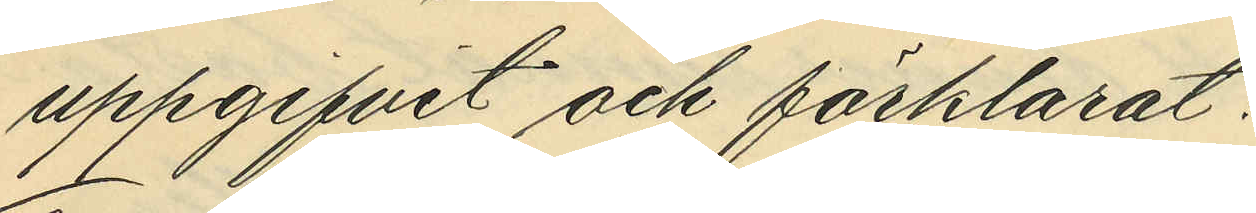uppgifvit och förklarat:
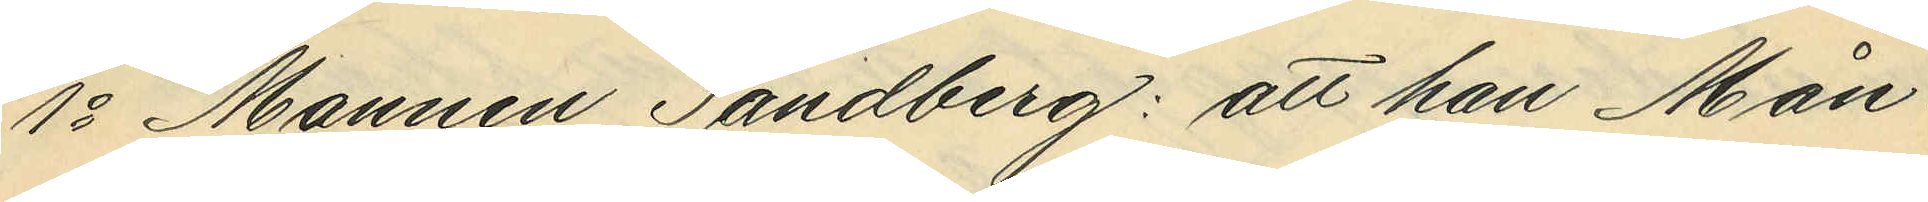1o Mannen Sandberg: att han Mån¬
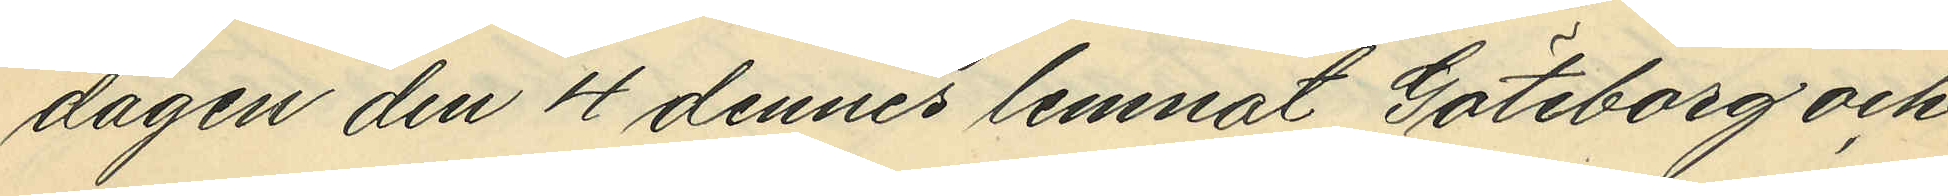dagen den 4 dennes lemnat Göteborg och
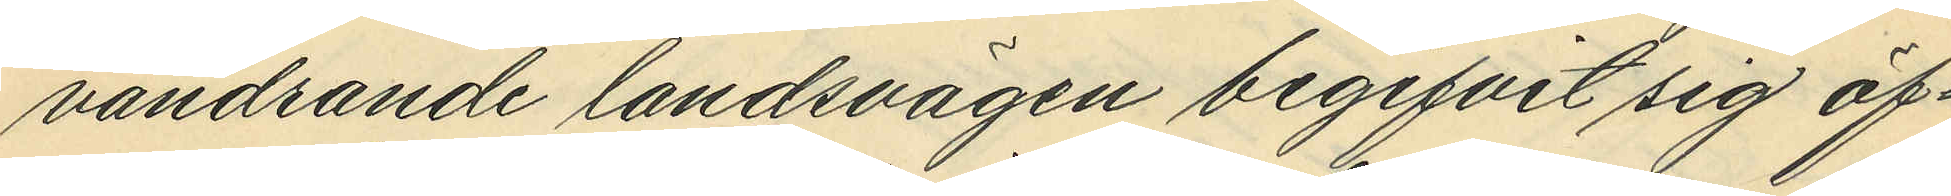vandrande landsvägen begifvit sig öf¬
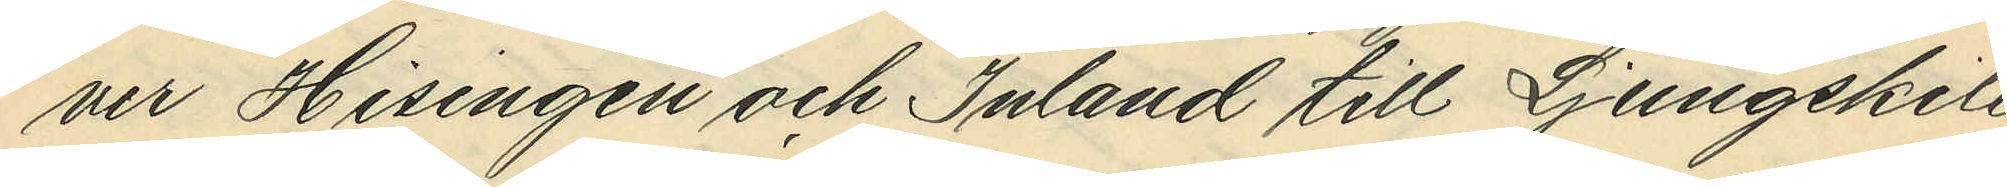ver Hisingen och Inland till Ljungskile,
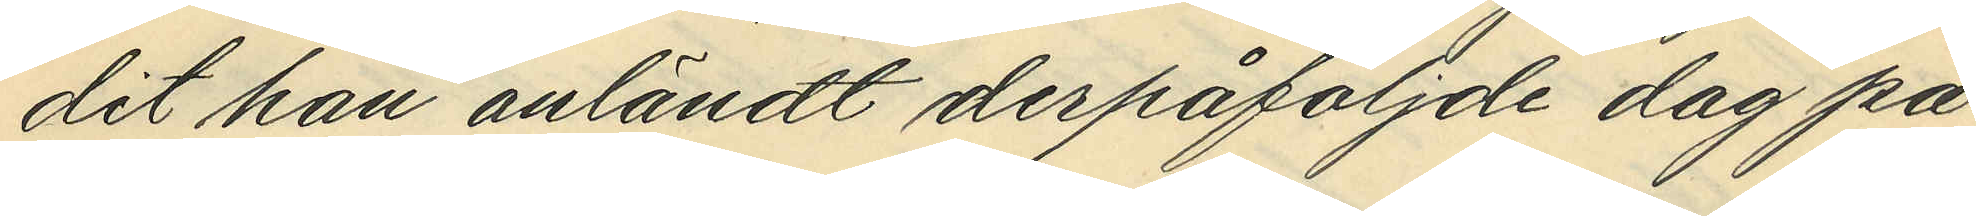dit han anländt derpåföljande dag på
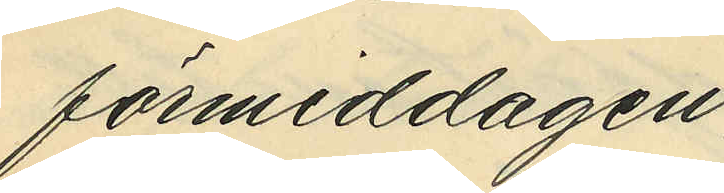förmiddagen,
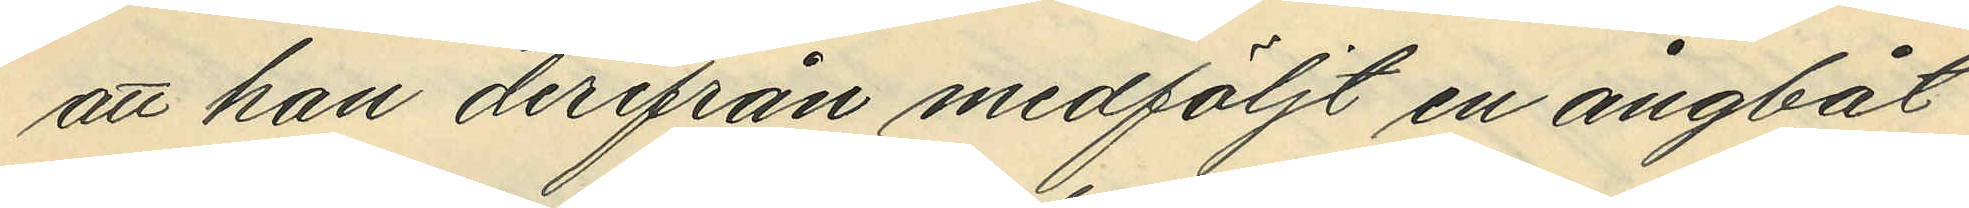att han derifrån medföljt en ångbåt
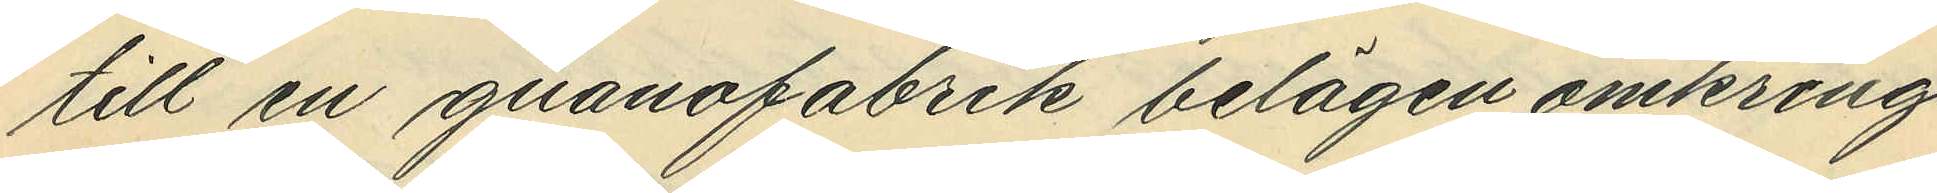till en guanofabrik belägen omkring
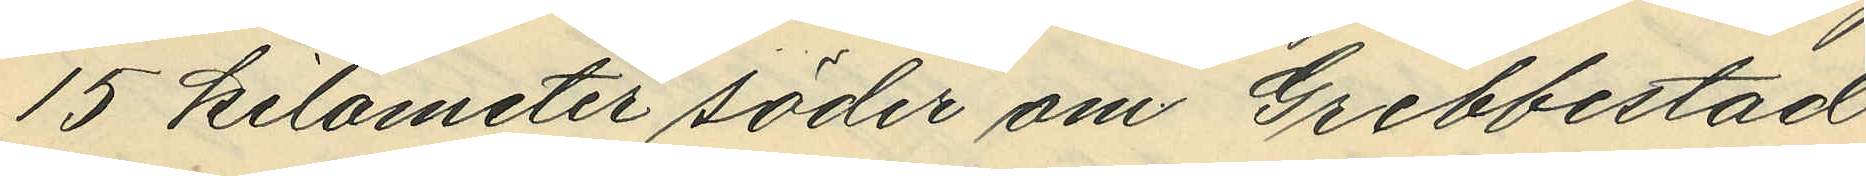15 kilometer söder om Grebbestad,
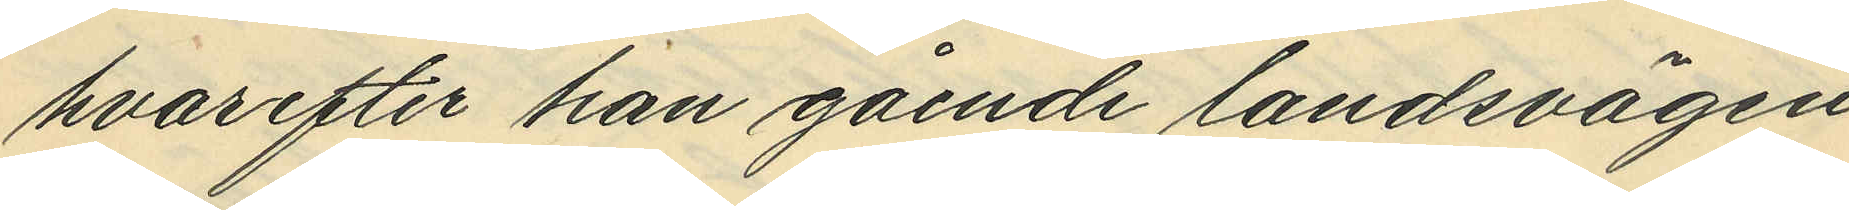hvarefter han gående landsvägen
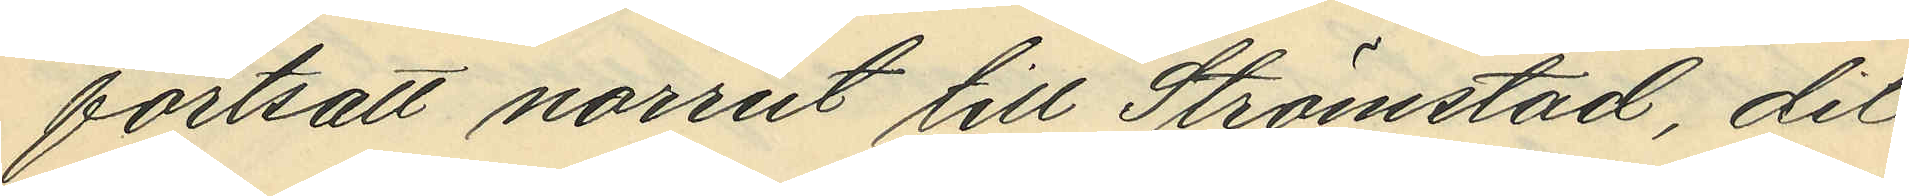fortsatt norrut till Strömstad, dit
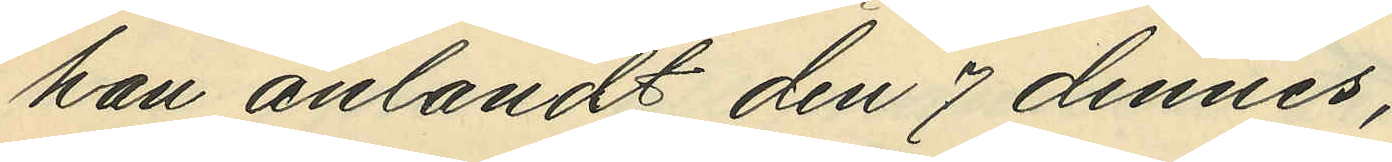han anlandt den 7 dennes;
